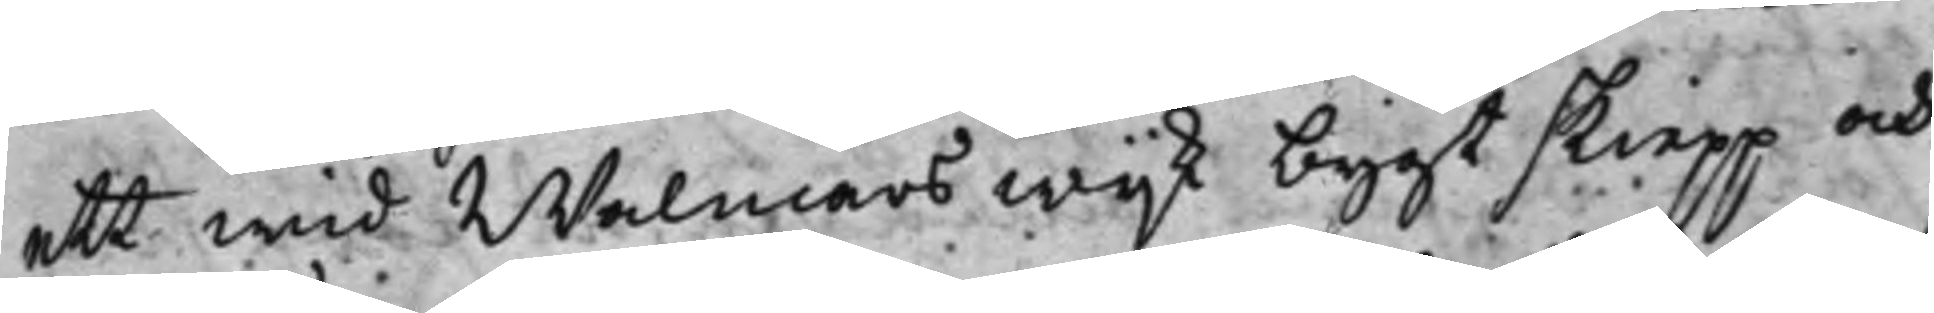ett wid Walmars wijk bygt skiepp och
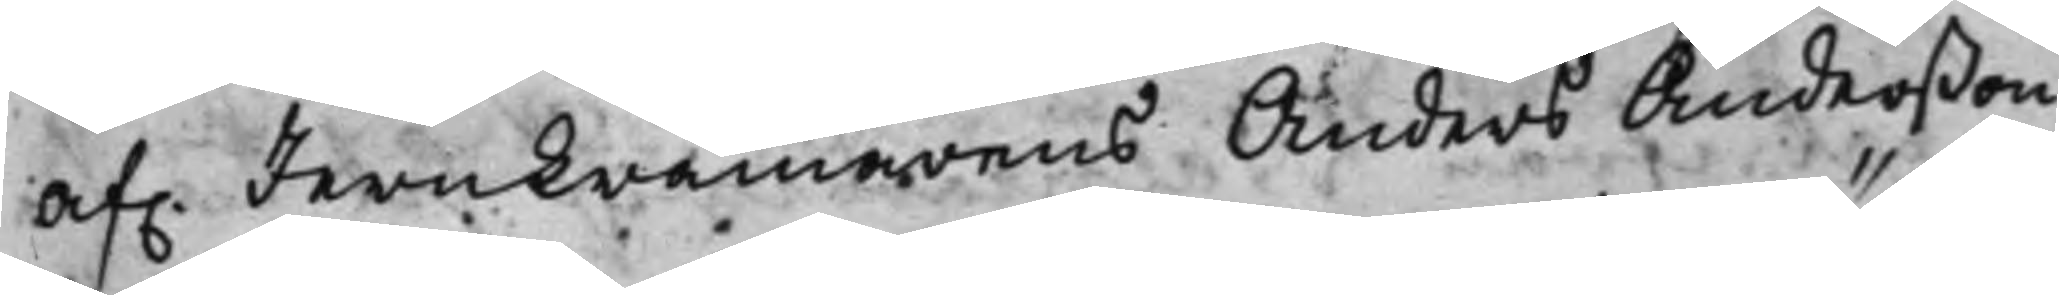af. Jernkrämarens Anders Anderßon
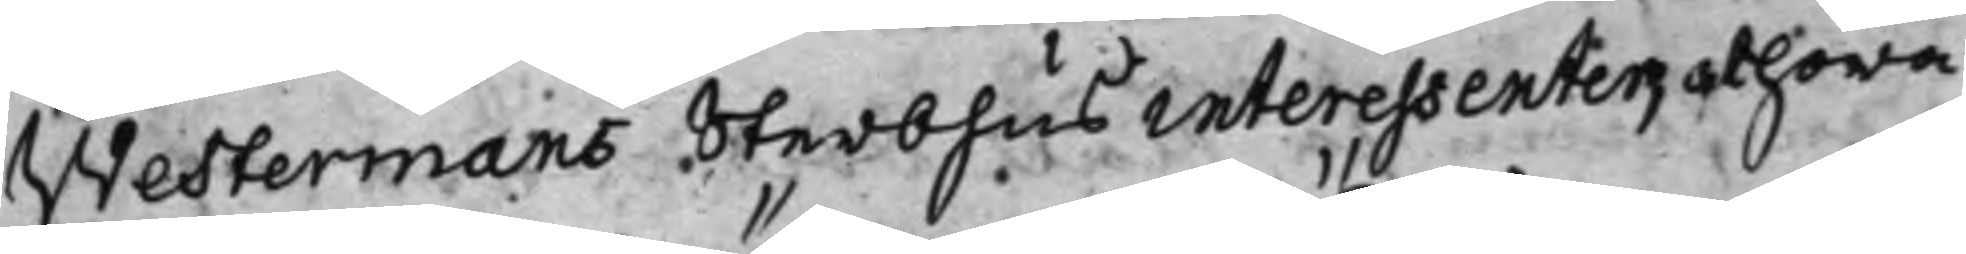Westermans Sterbhus interessenter, at höra
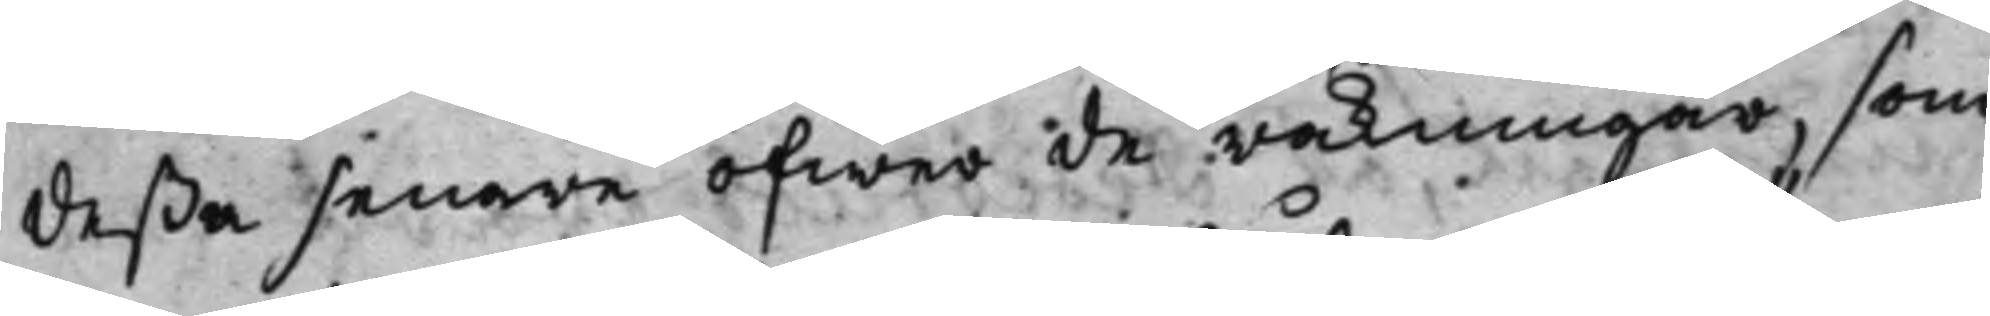deßa senare öfwer de räkningar, som
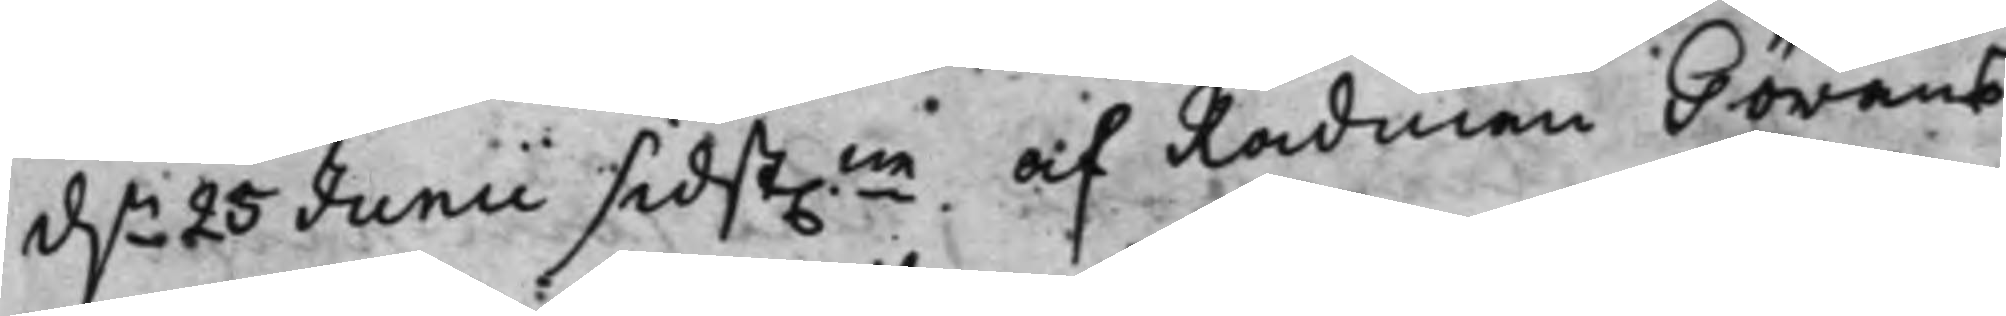d.n 25 Junii sidst.ne af Rådman Görans
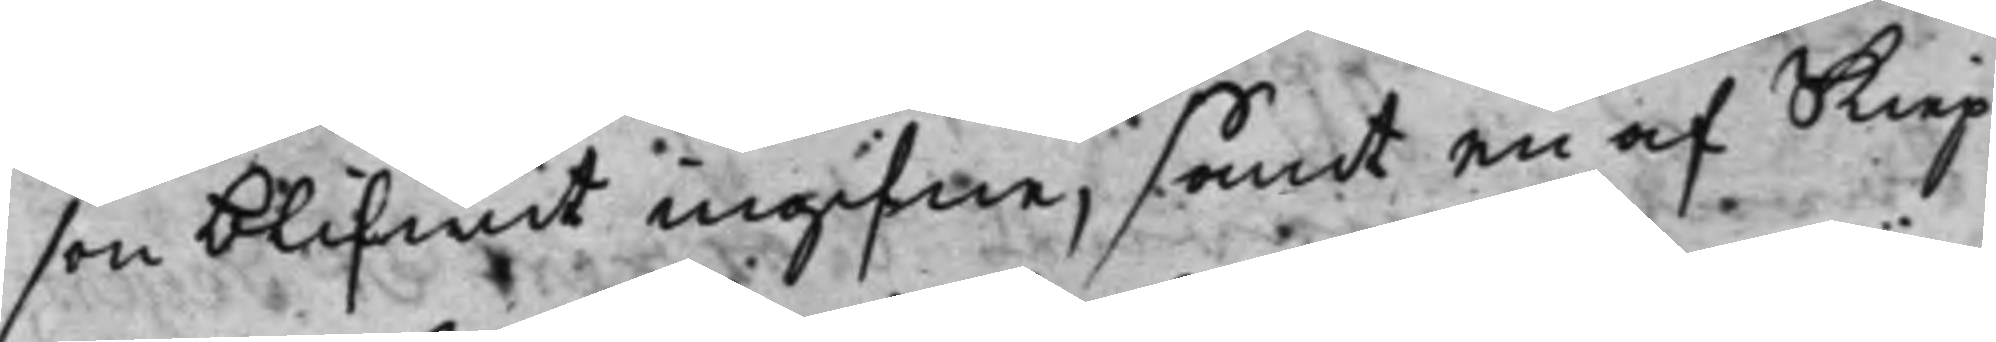son blifwit ingifne, samt en af Skiep¬
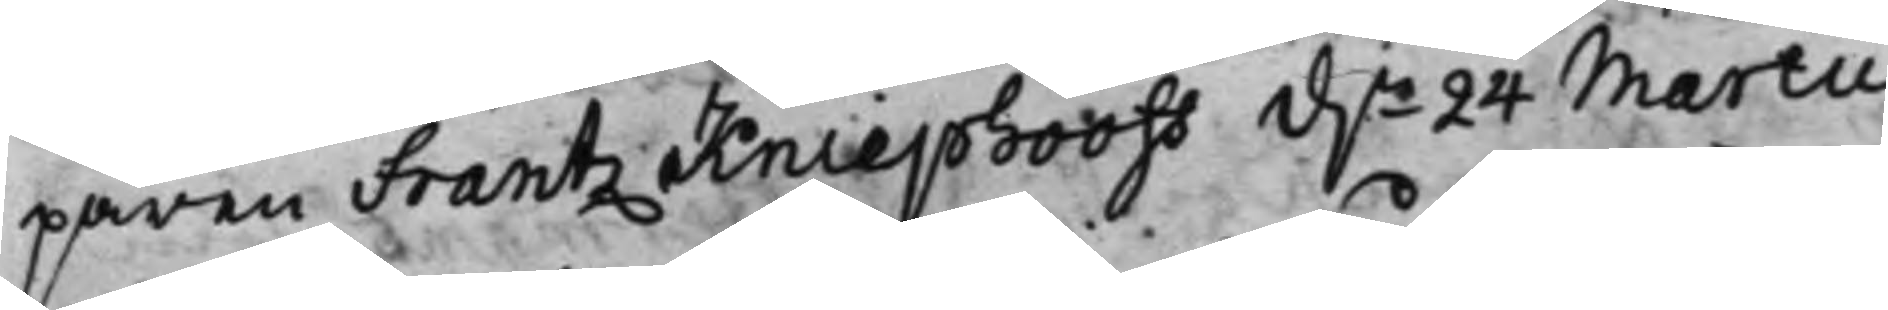paren Frantz Kniephooff d.n 24 Martii
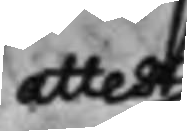attest
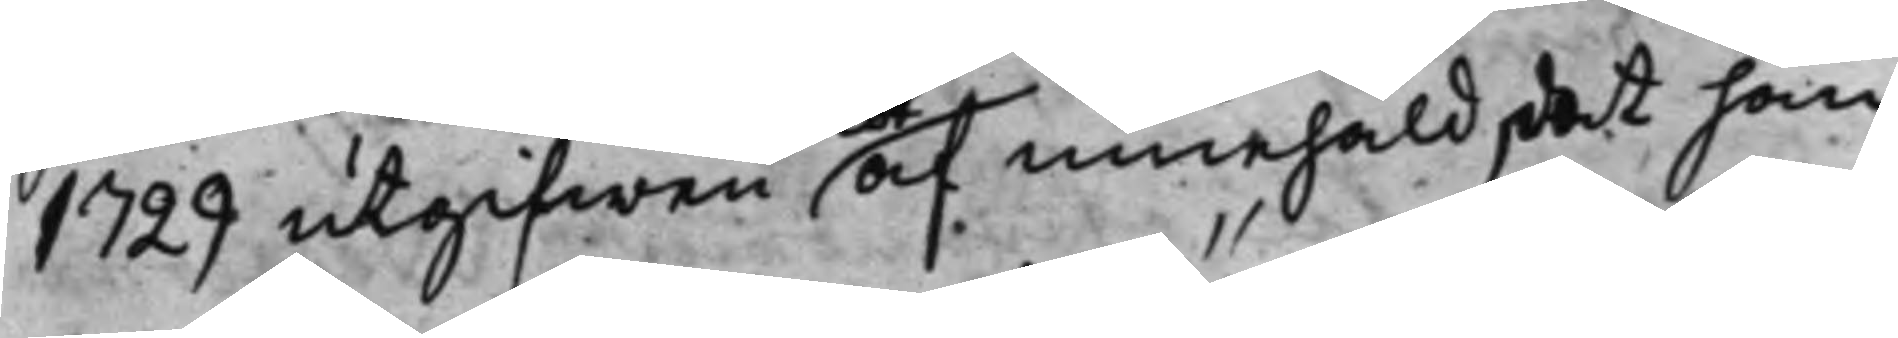1729 utgifwen af innehåld, det han
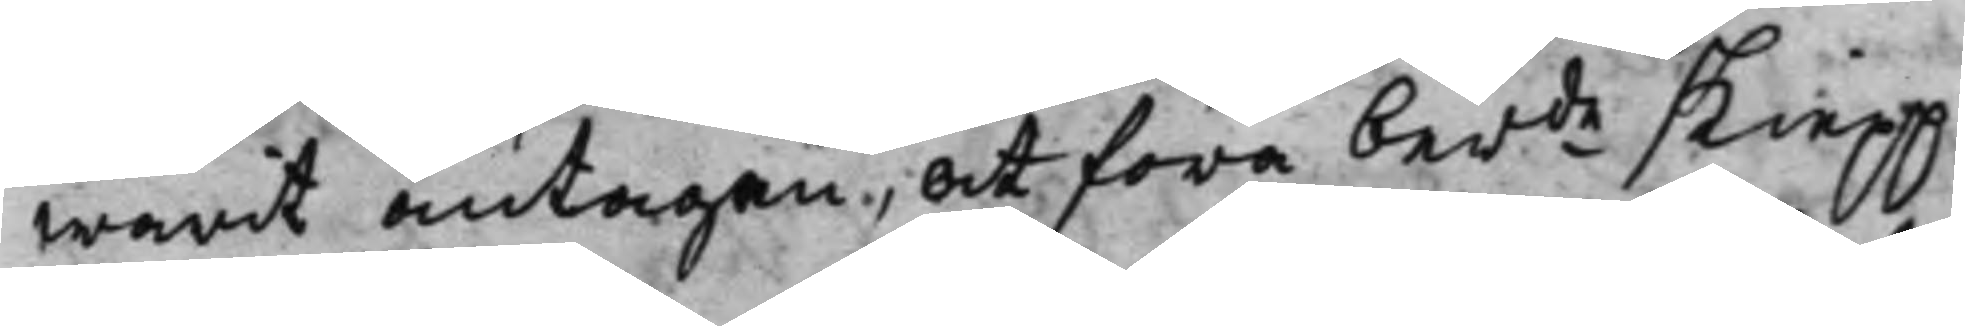warit antagen, at föra ber.de skiepp
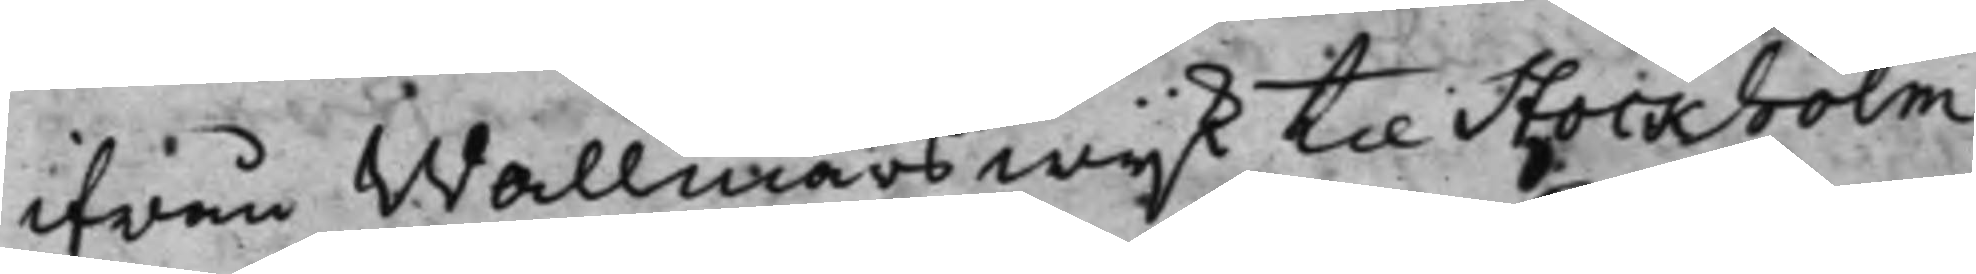ifrån Wallmars wijk til Stockholm,
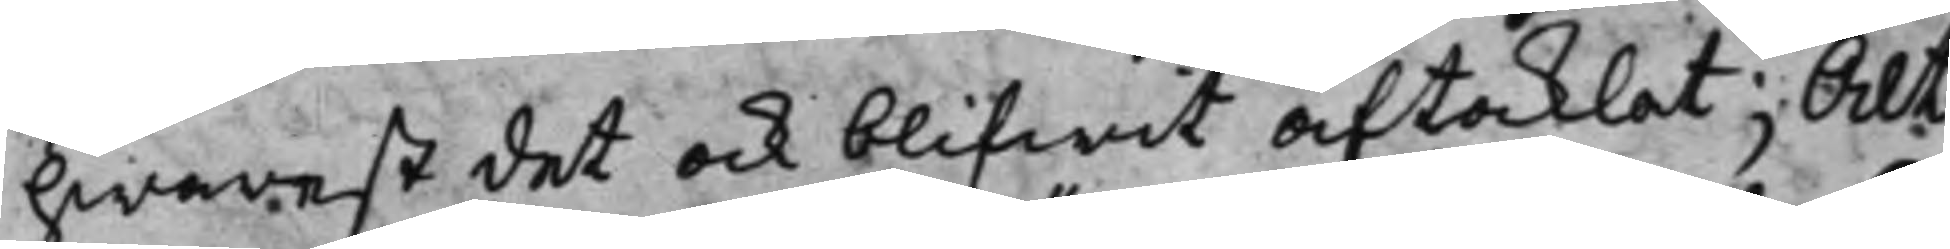hwarest det ock blifwit aftaklat; Alt¬
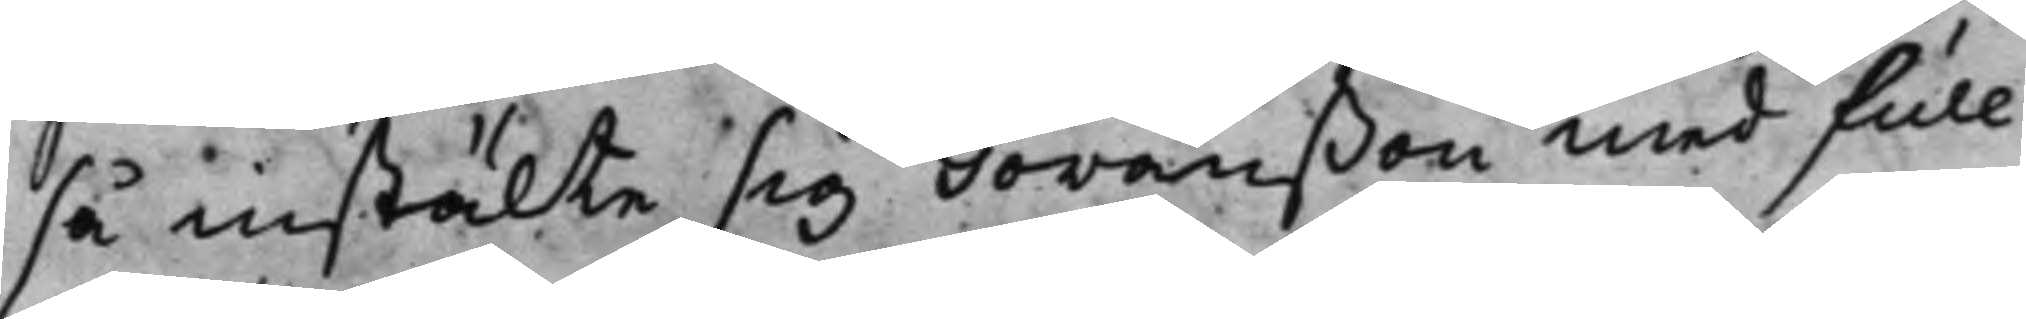så instälte sig Göranßon med full¬
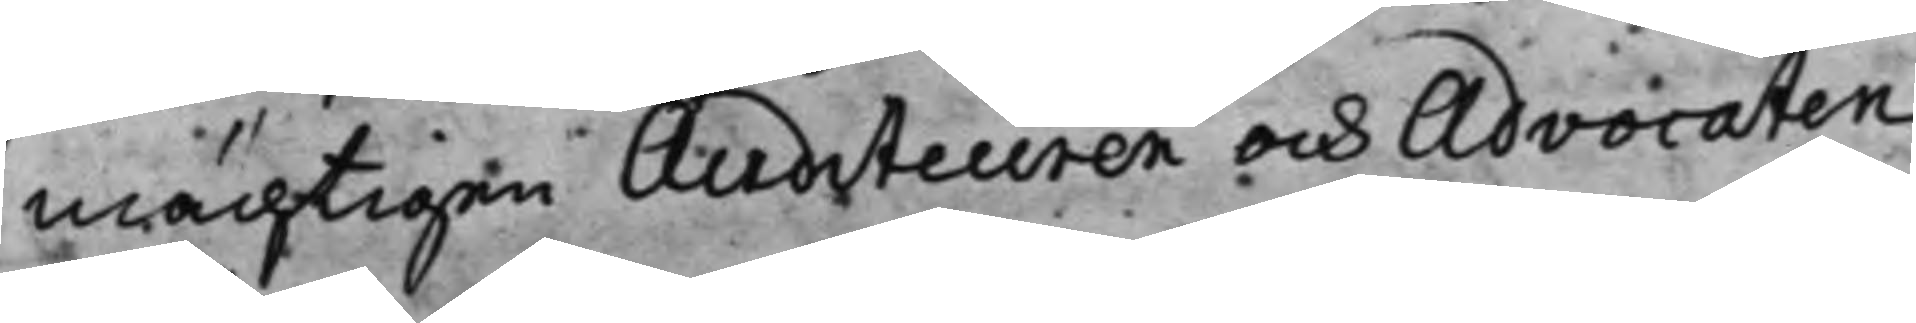mächtigen Auditeuren och Advocaten
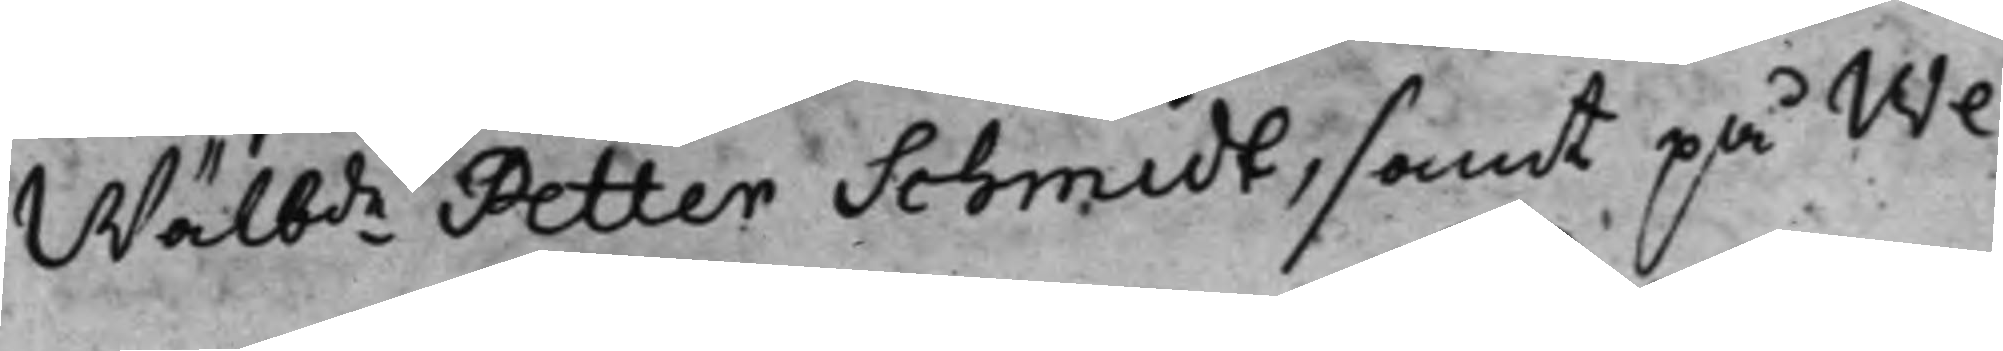Wälb:de Petter Schmidt, samt på We¬
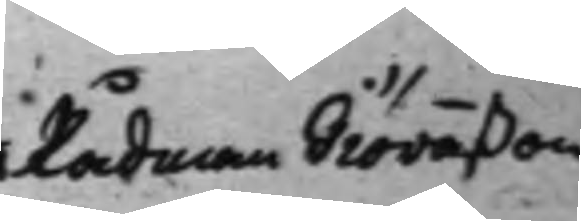Rådman Giöranßon
